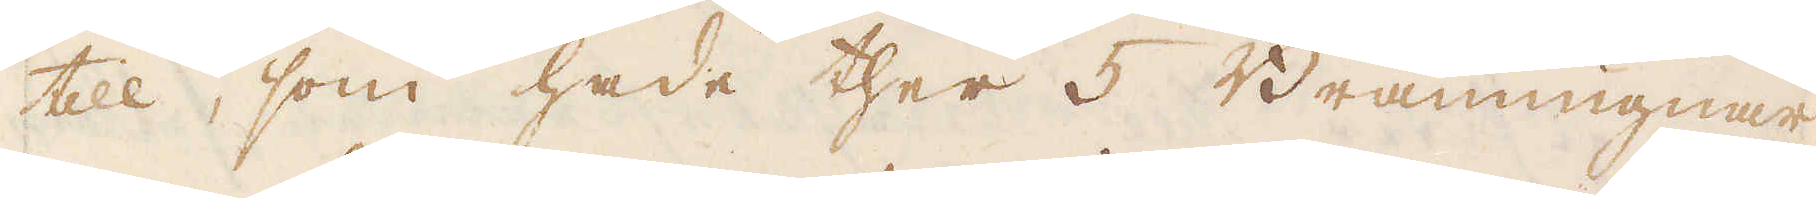till, som hade ther 5 Brännugnar,
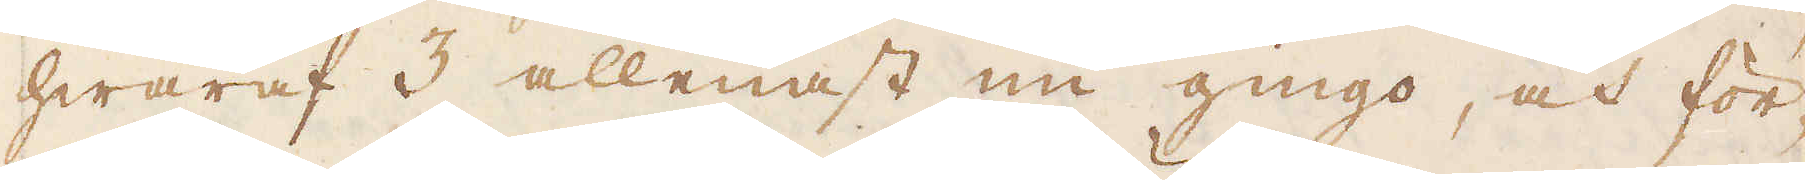hwaraf 3 allenast nu gingo, och för-
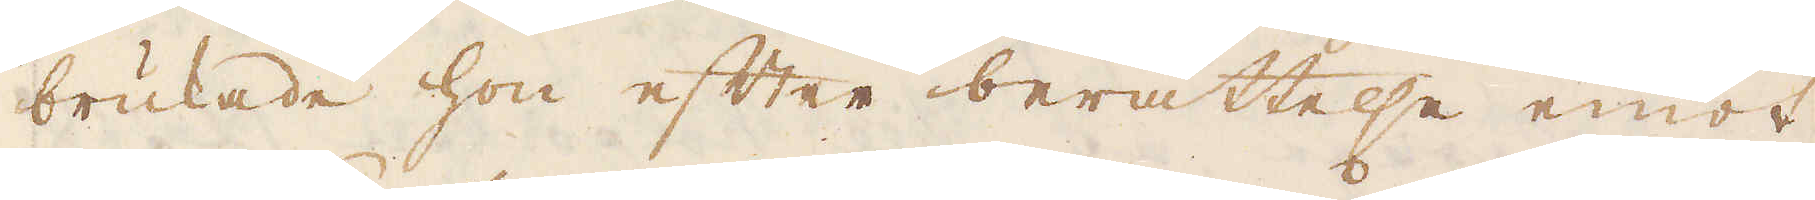brukade hon efter berättelse emot
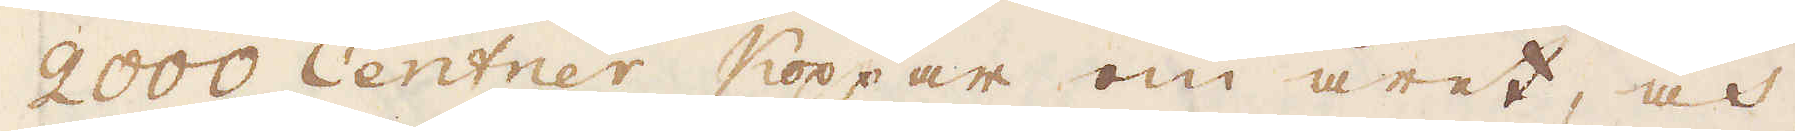2000 Centner Koppar om året, och
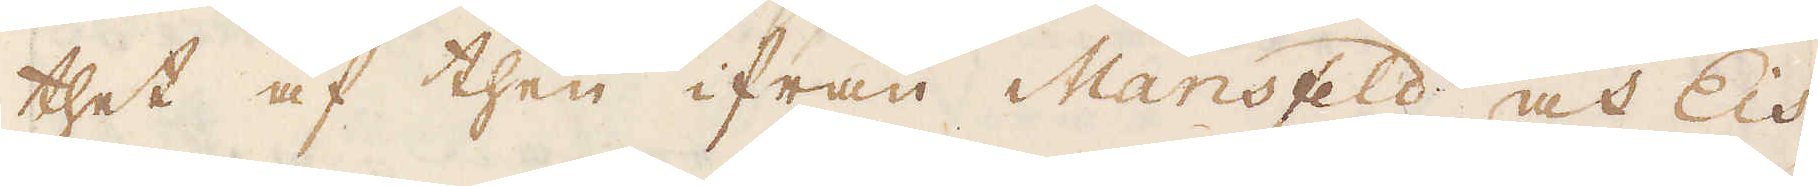thet af then ifrån Mansfeld och Eis-
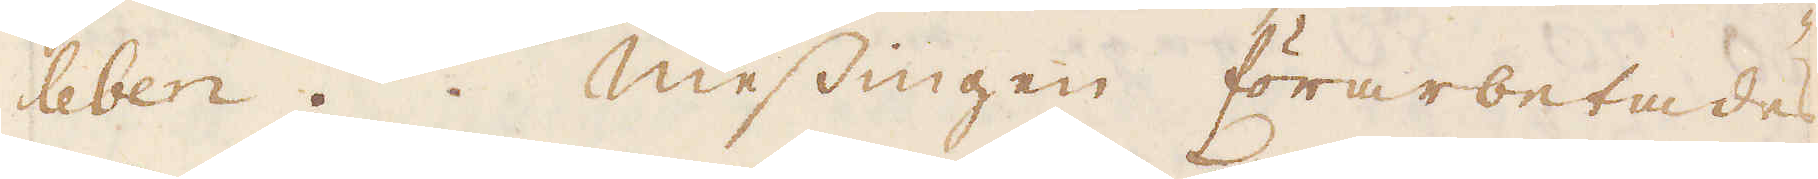leben. Messingen förarbetades
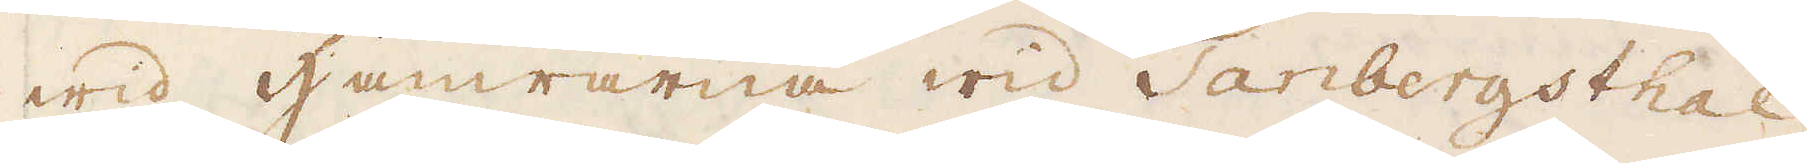wid hamrarna wid Tanbergsthal
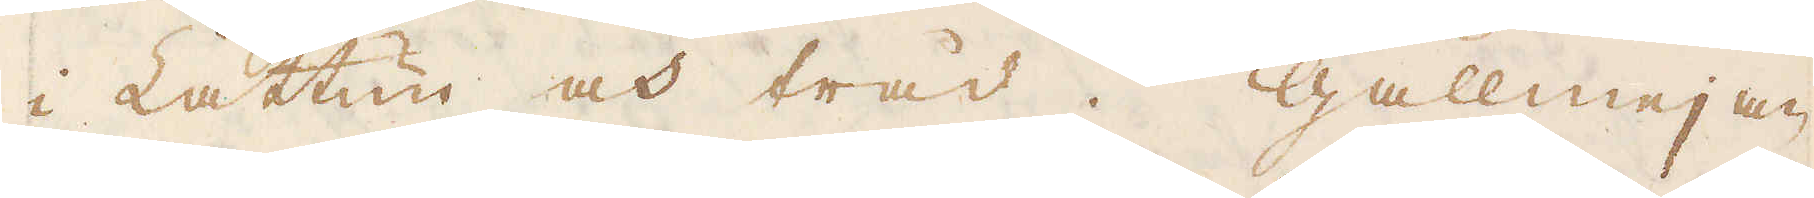i Lattun och tråd. Gallmejan
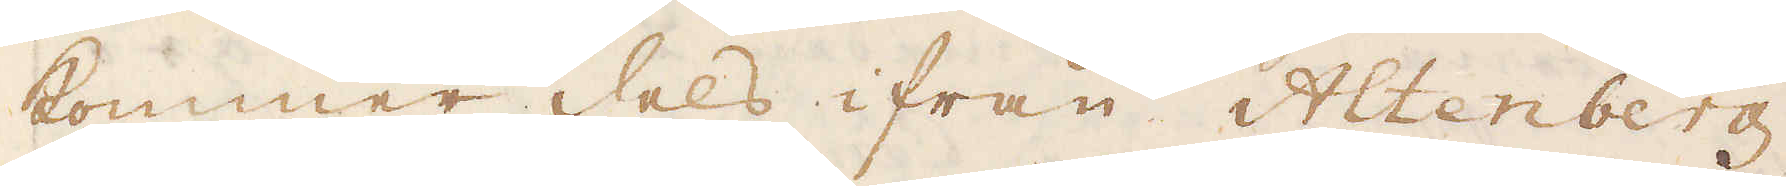kommer dels ifrån Altenberg
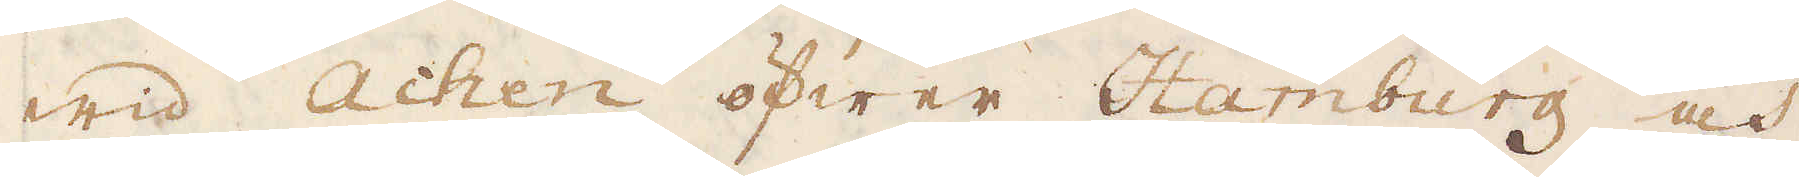wid Achen öfwer Hamburg och
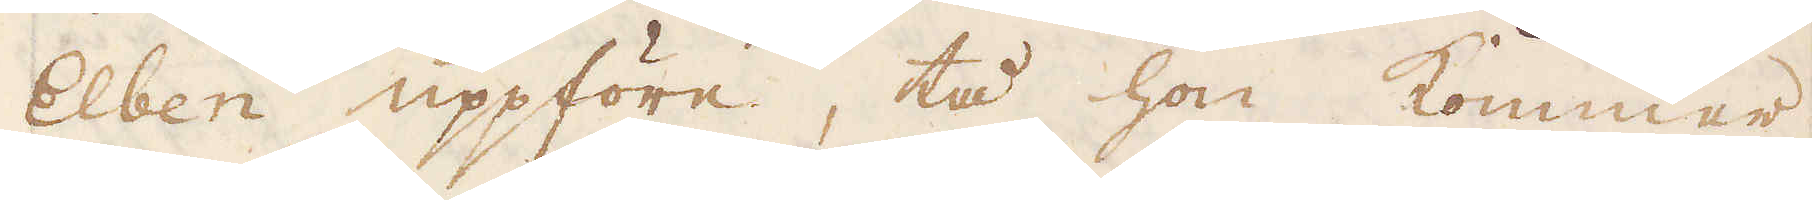Elben uppföre, tå hon kommer
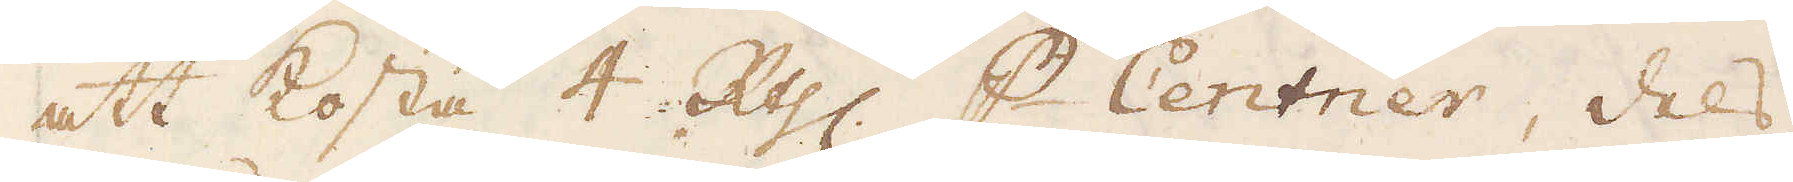att kosta 4 R:thlr p Centner, dels
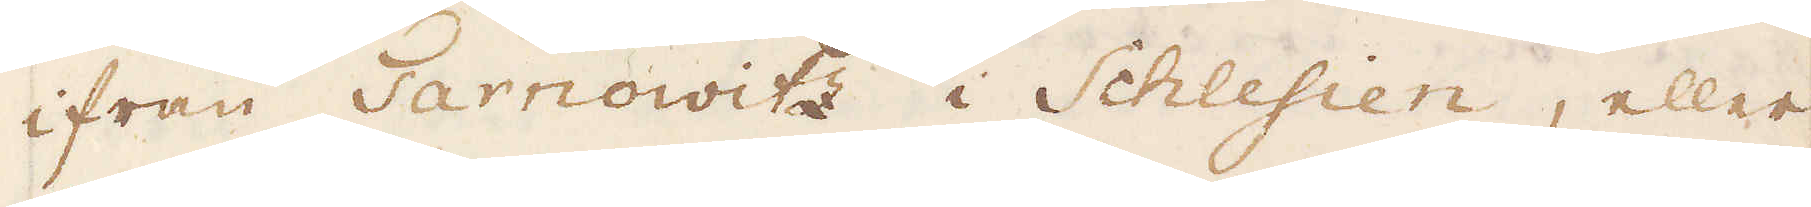ifrån Tarnovitz i Schlesien, eller
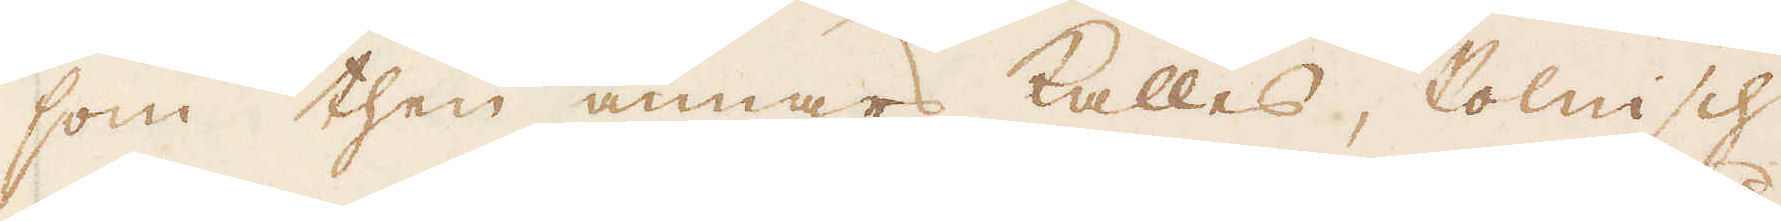som then annars kallas, Polnisch
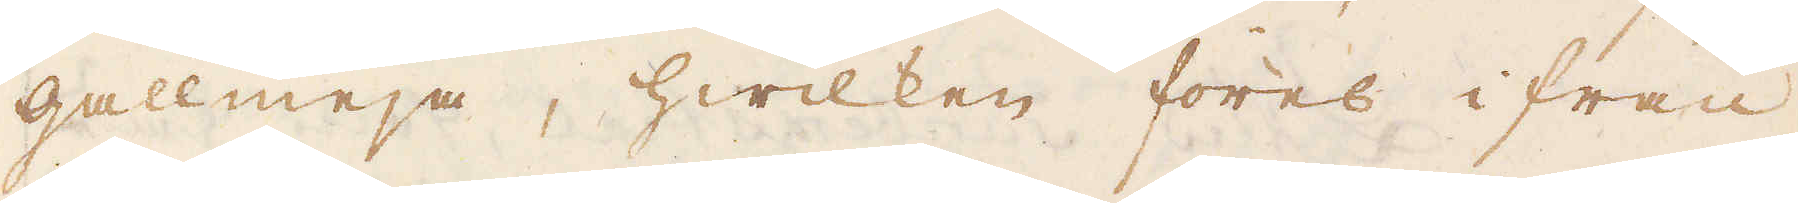gallmeja, hwilken föres ifrån
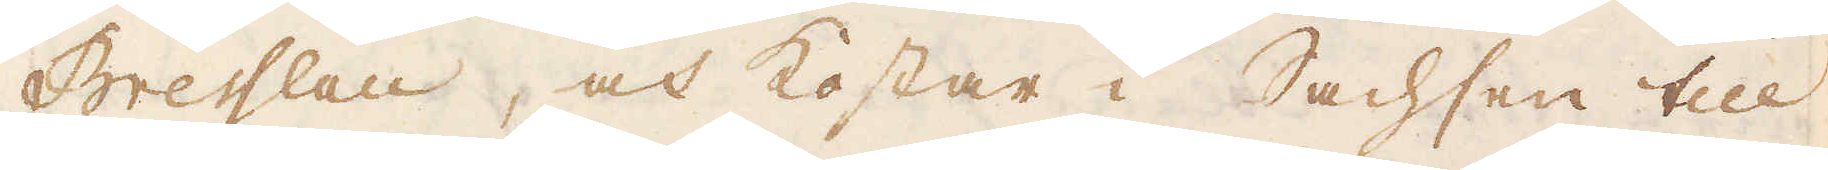Bresslau, och kostar i Sachsen till
